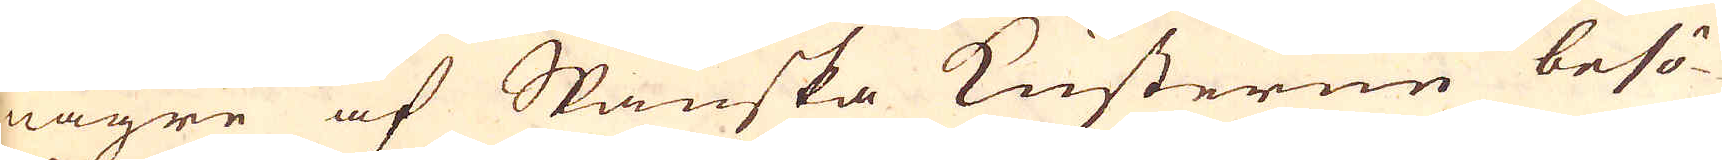någre af Spanska Kusterne besö-
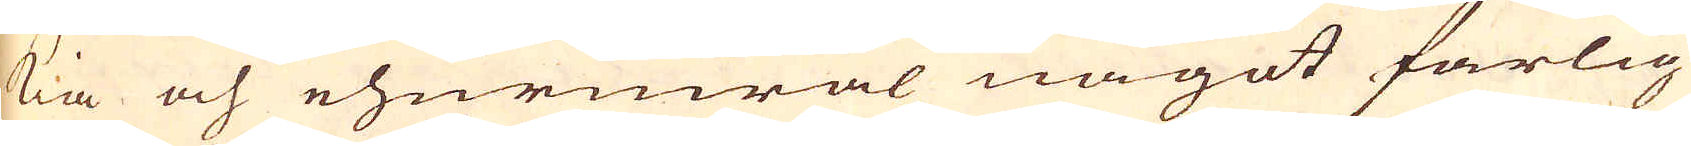kia och ehuruwäl något farlig
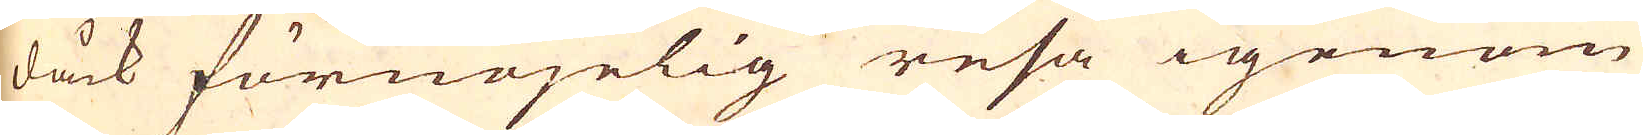dåck förnöjelig resa igenom
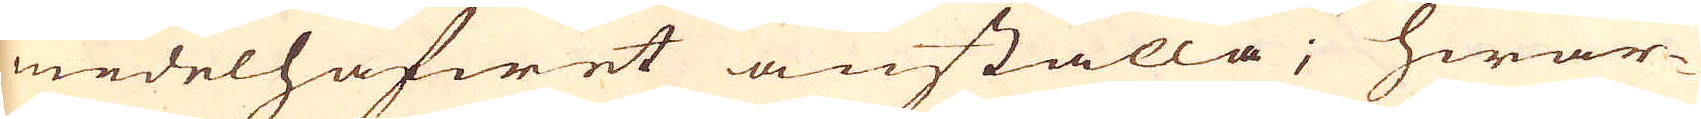medelhafwet anställa; hwar-
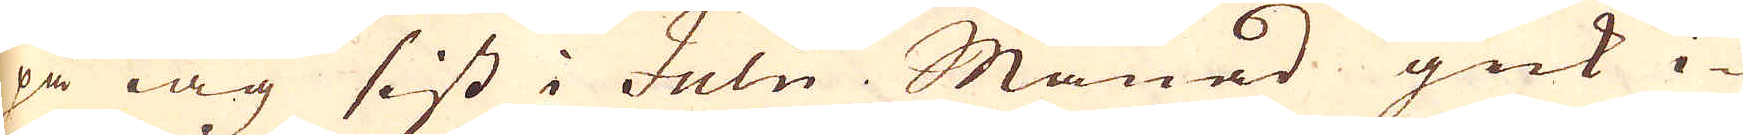på iag sist i Julii. Månad gick i-
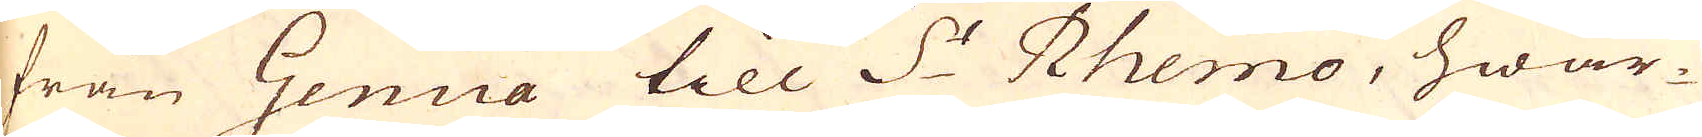från Genua till S:t Rhemo, hwar-
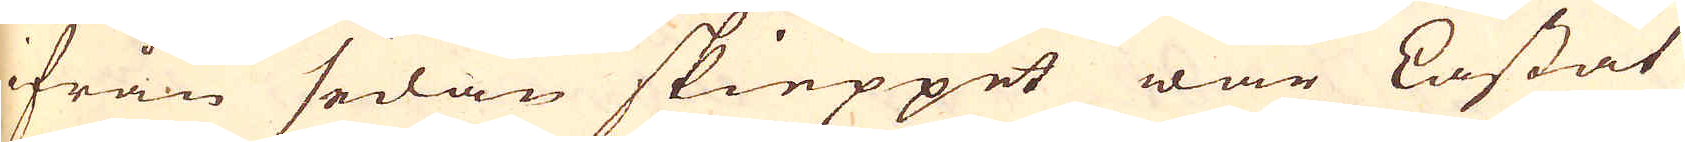ifrån sedan skieppet war Lastat
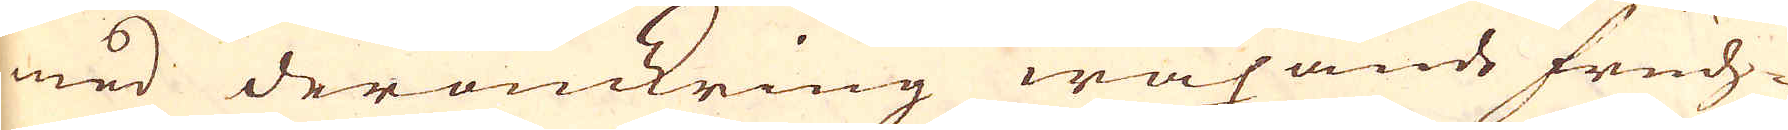med deromkring wäxande fruch-
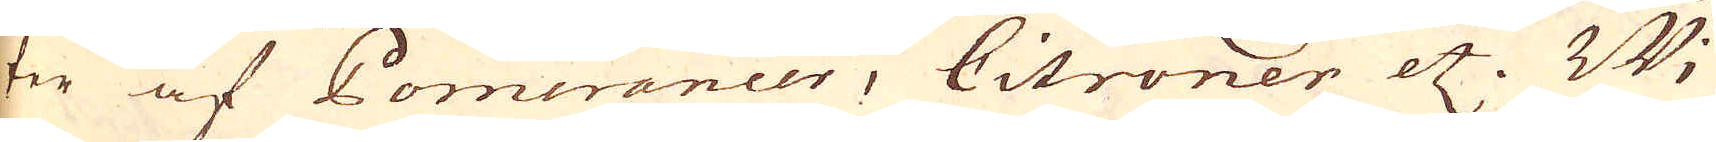ter af Pomerancer, Citroner etc. Wi
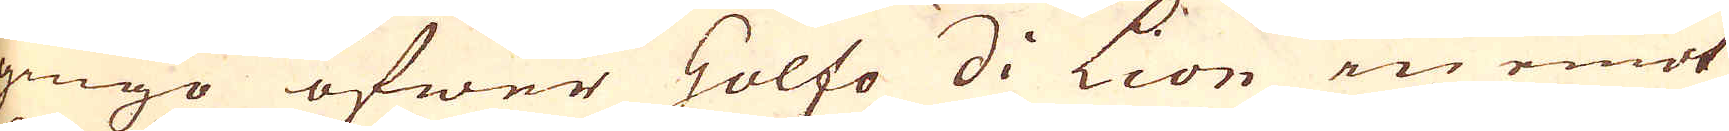gingo öfwer Holfo di Lion in emot
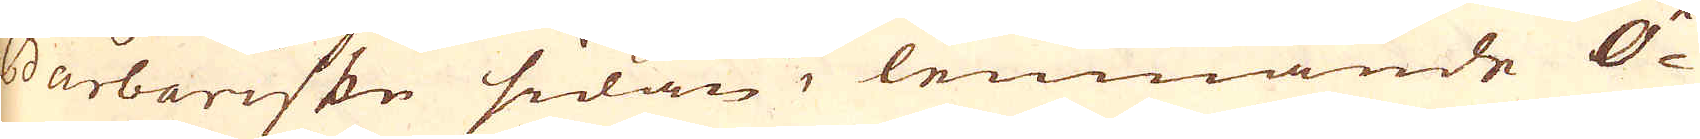Barbariske sidan, lemnande Ö-
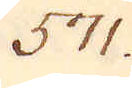571.
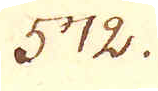372.
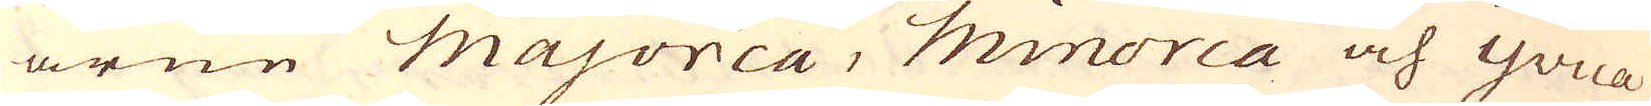arne majorca, Minorca och Yvica
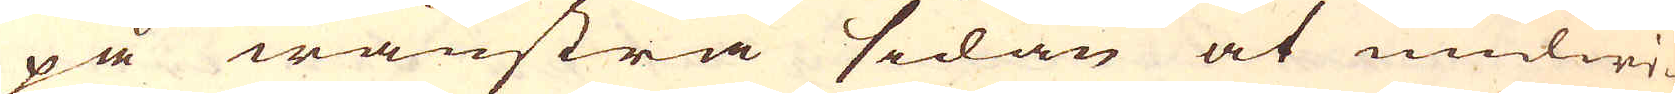på wänstra sedan at undwi-
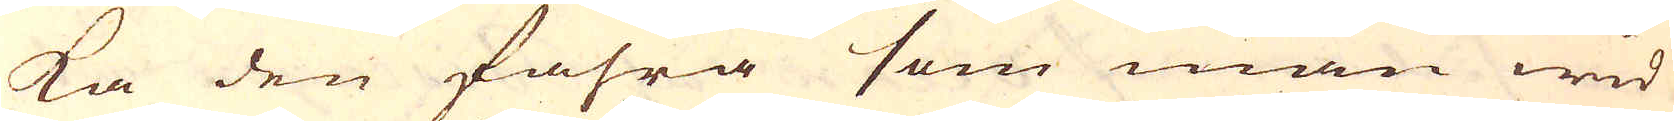ka den fahra som man wid
